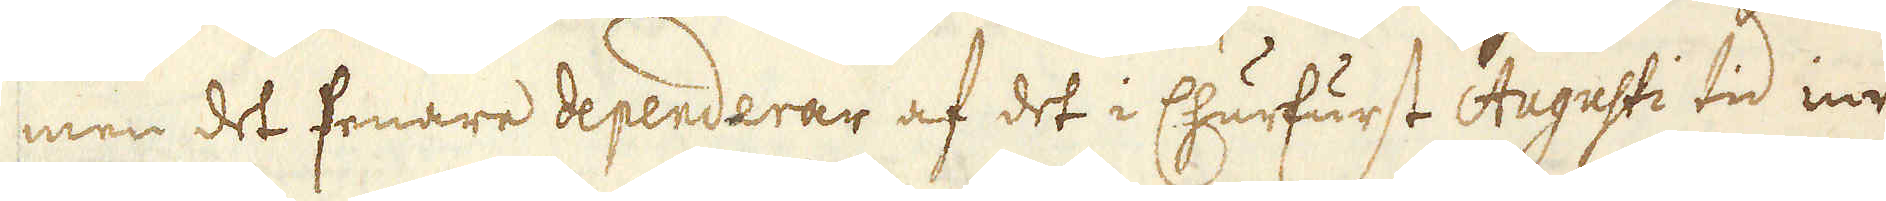men det senare dependerar af det i Churfurst Augusti tid inrät-
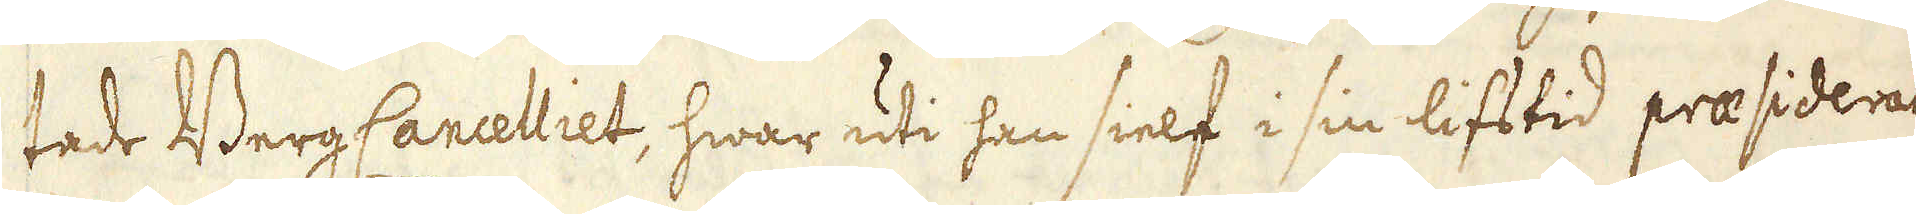tade Berg Cancelliet, hwar uti han sielf i sin lifstid praesiderat
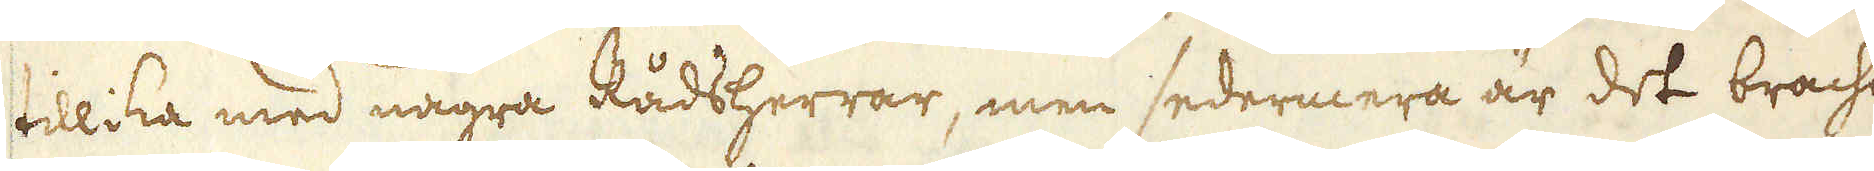tillika med några Rådsherrar, men sedermera är det bracht
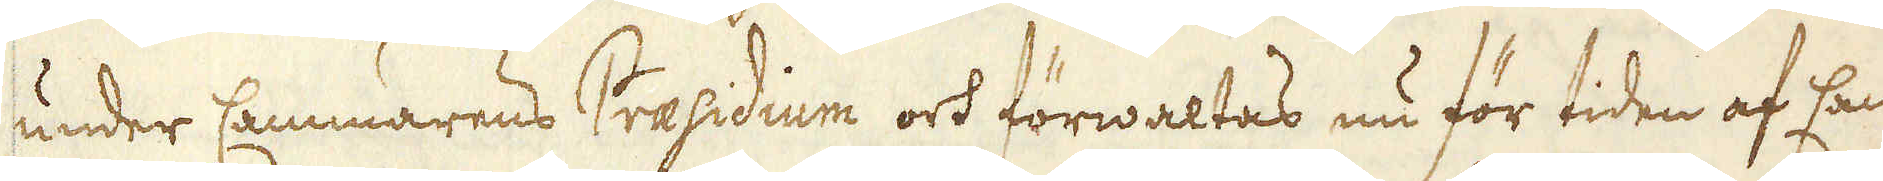under Cammarens Praesidium och förwaltas nu för tiden af Cam-
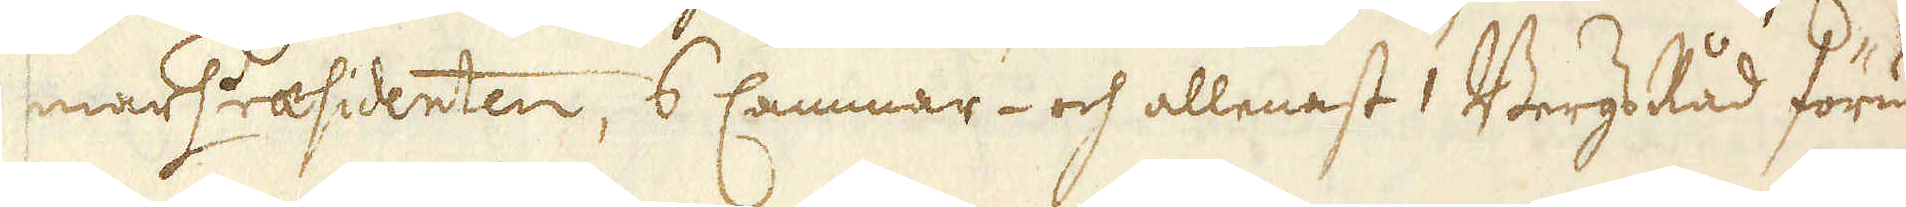mar Praesidenten, 6 Cammar- och allenast 1 Bergs Råd förutan
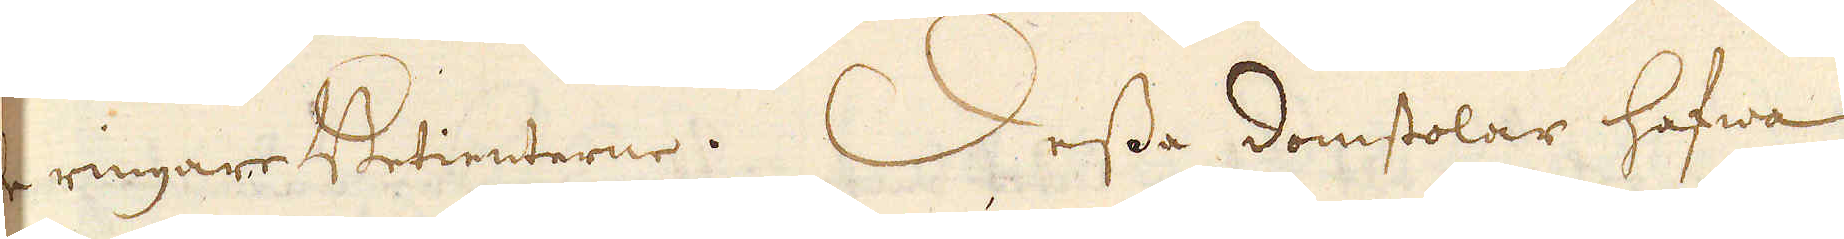de ringare Betienterne. Desse domstolar hafwa
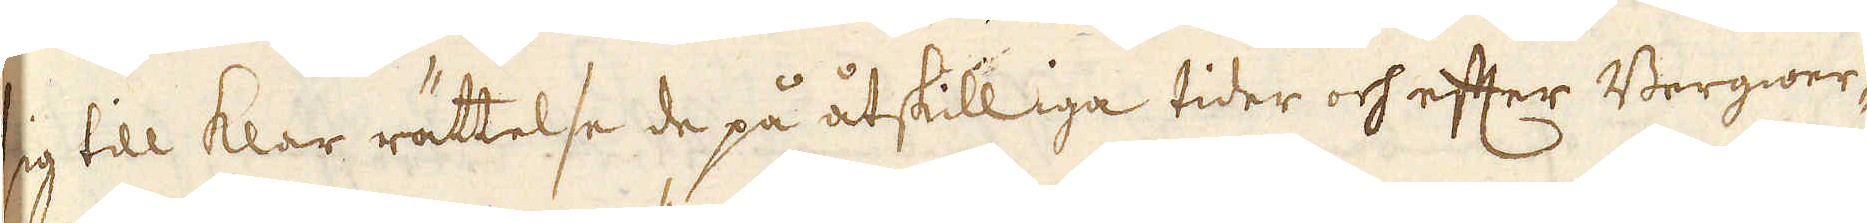sig till klar rättelse de på åtskilliga tider och efter Bergwer-
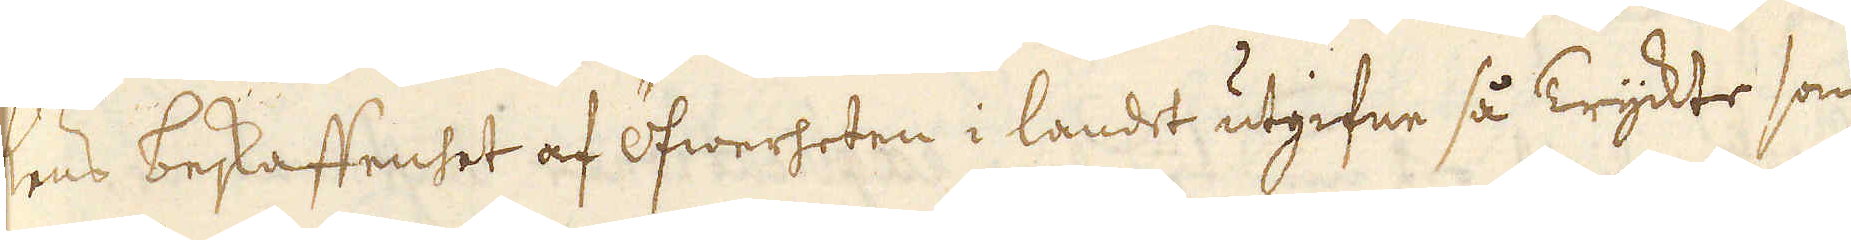ens beskaffenhet af öfwerheten i landet utgifne så Tryckte som
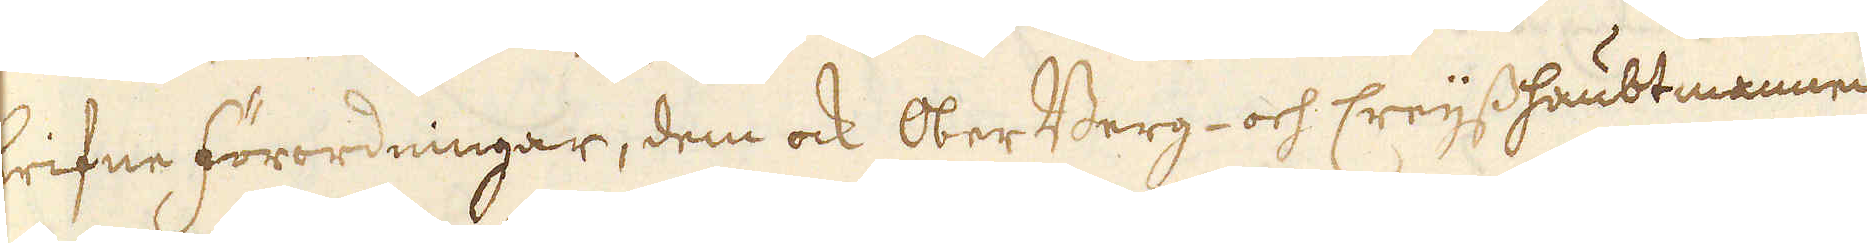skrifne förordningar, dem ock OberBerg- och Creijshaubtmannen
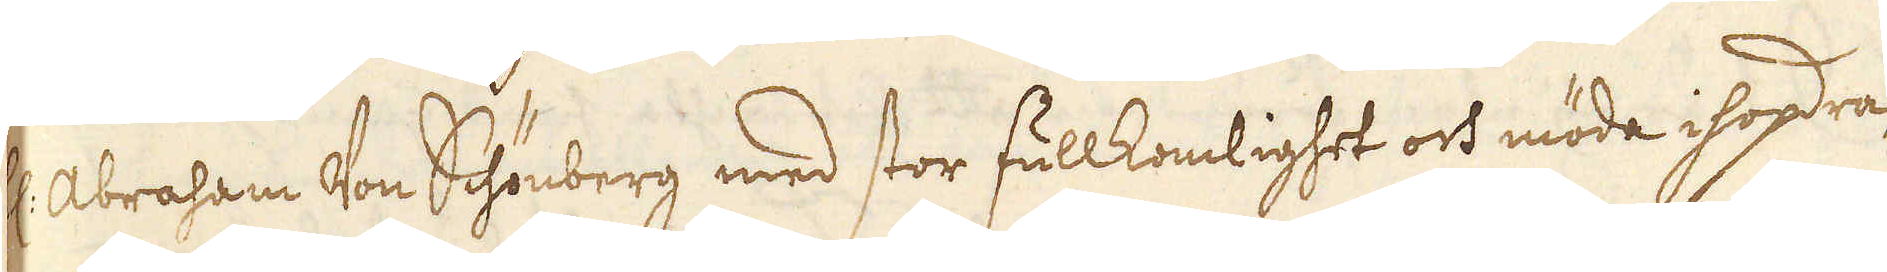H:r Abraham Von Schönberg med stor fullkomlighet och möda ihopdra-
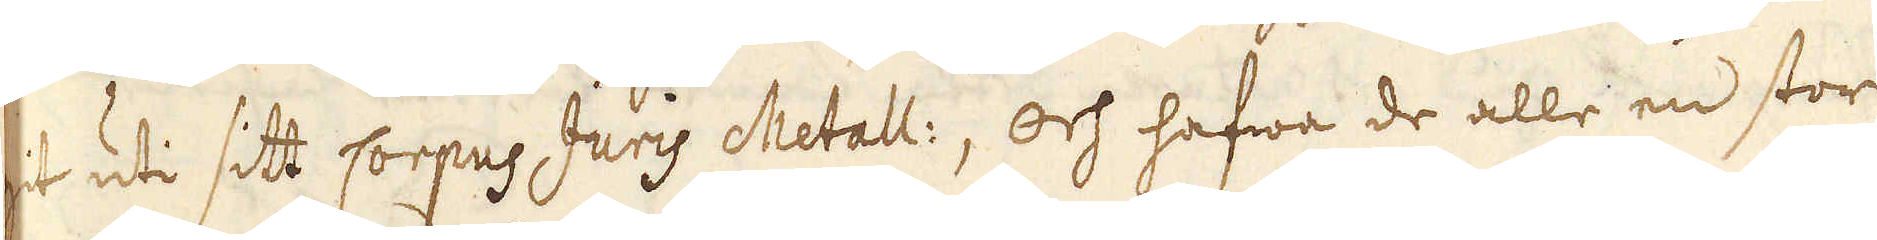git uti sitt Corpus Juris Metalli, och hafwa de alle en stor
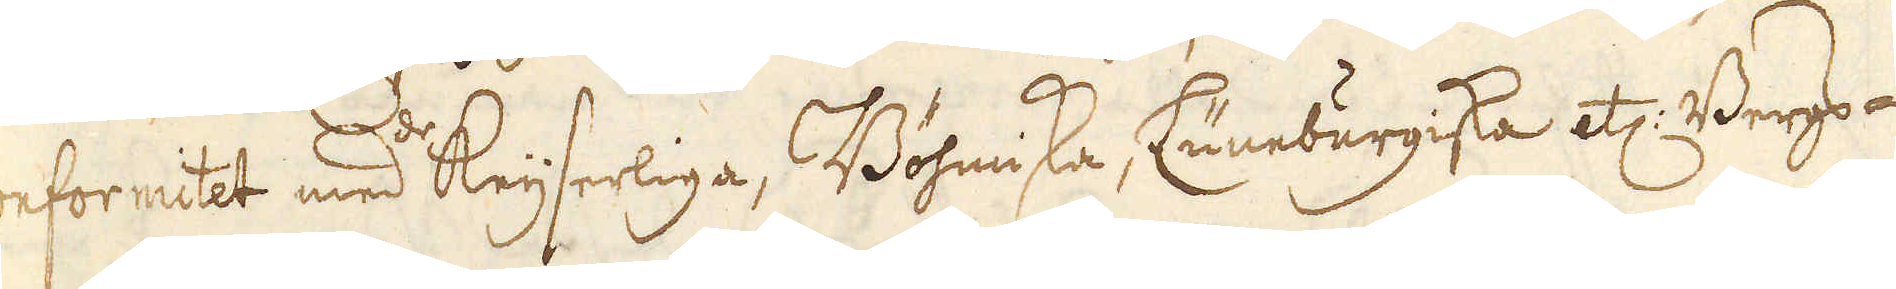confomitet med de Keijserliga, Böhmiska, Luneburgiska etc: Bergs-
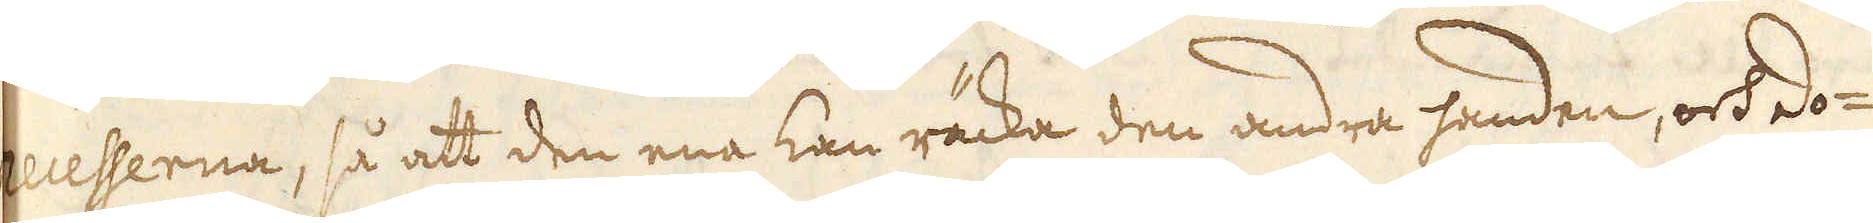recesserna, så att den ena kan räcka den andra handen, ock do-
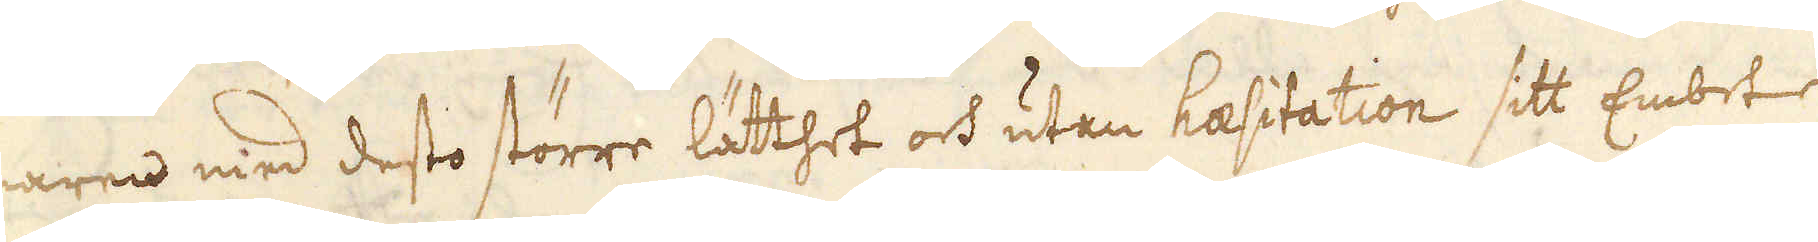maren med desto större lätthet och utan haesitation sitt Embete
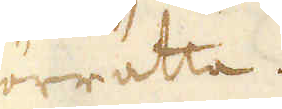förrätta.
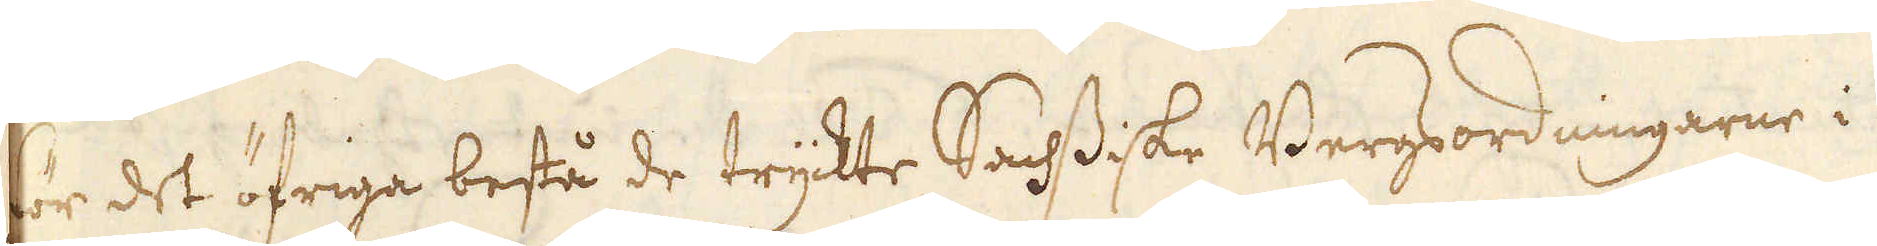För det öfriga bestå de trykte Sachsiske Bergordningarne i
